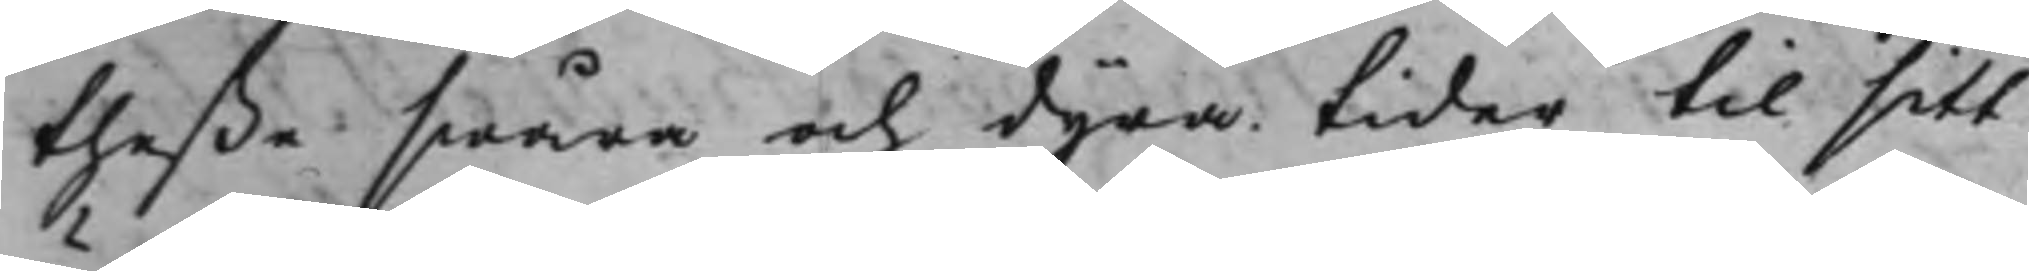theße swåra och dyra tider til sitt
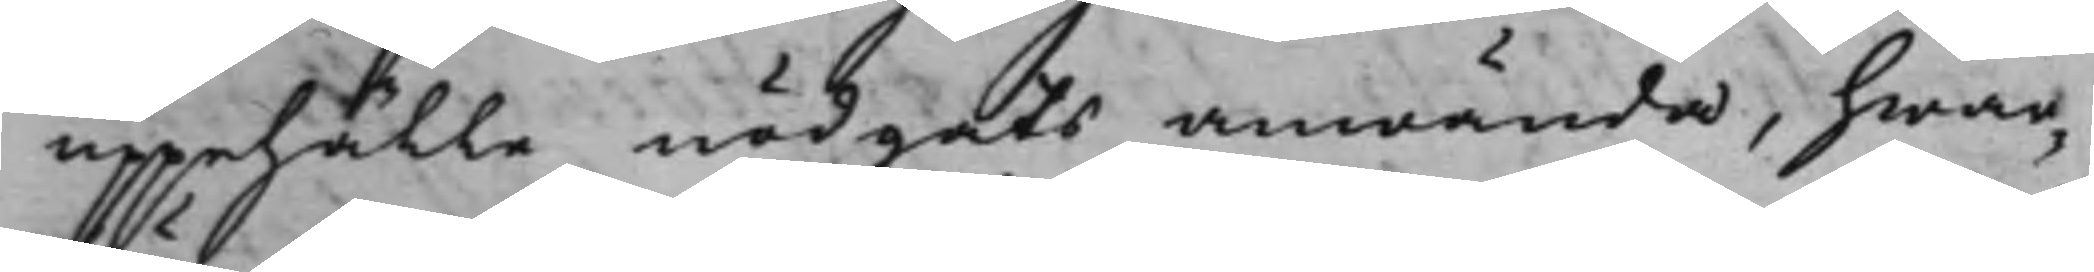uppehälle nödgats anwända, hwar¬
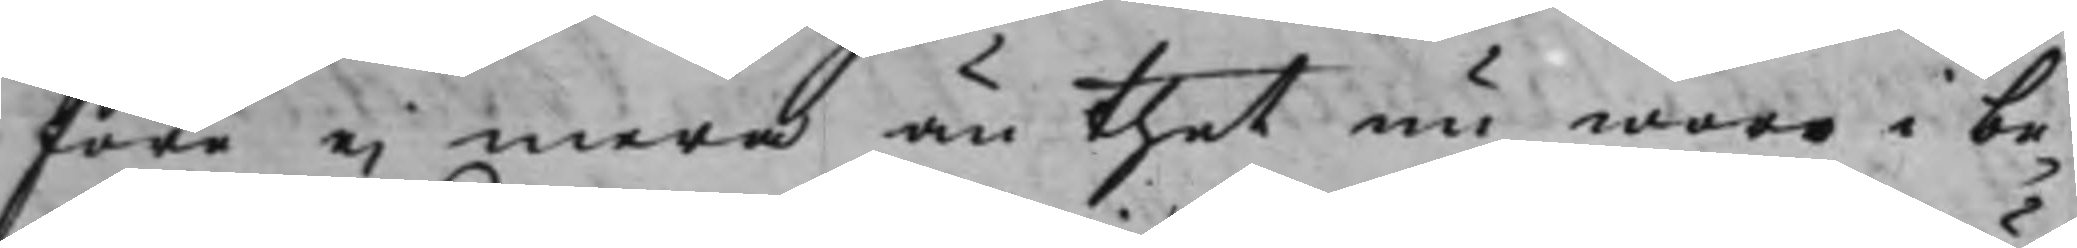före ei mera än thet nu woro i be¬
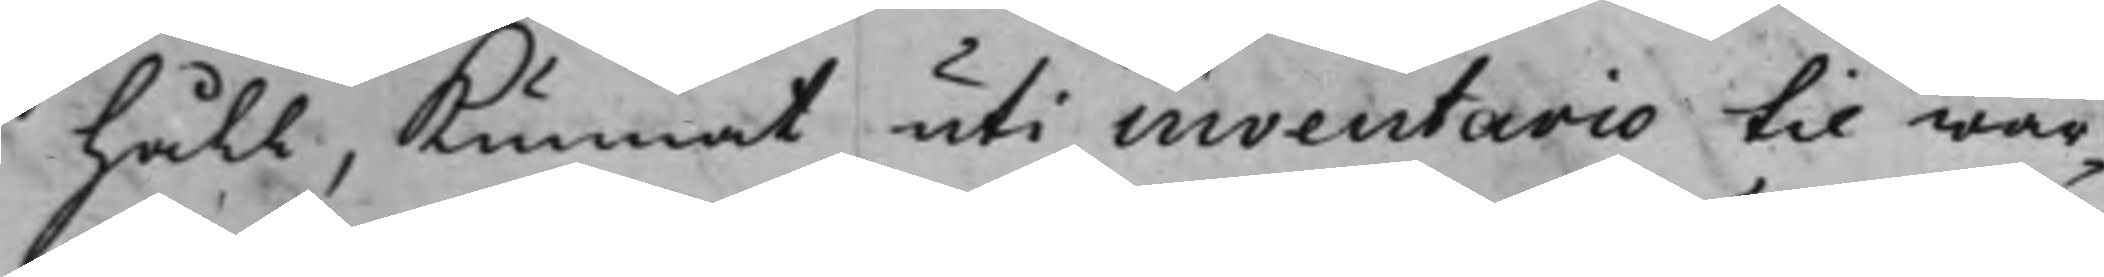håll, Kunnat uti inventario til wär¬
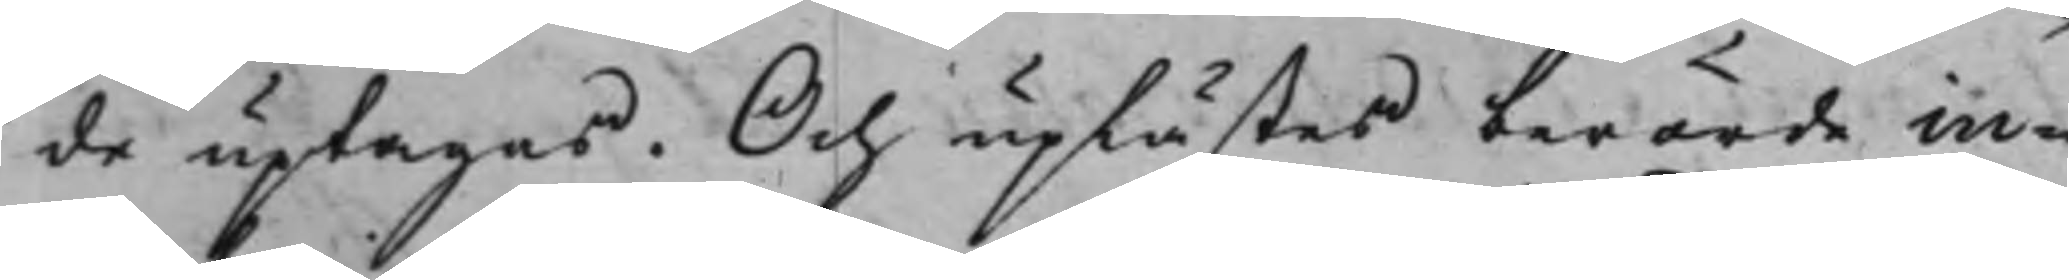de uptagas. Och uplästes berörde in¬
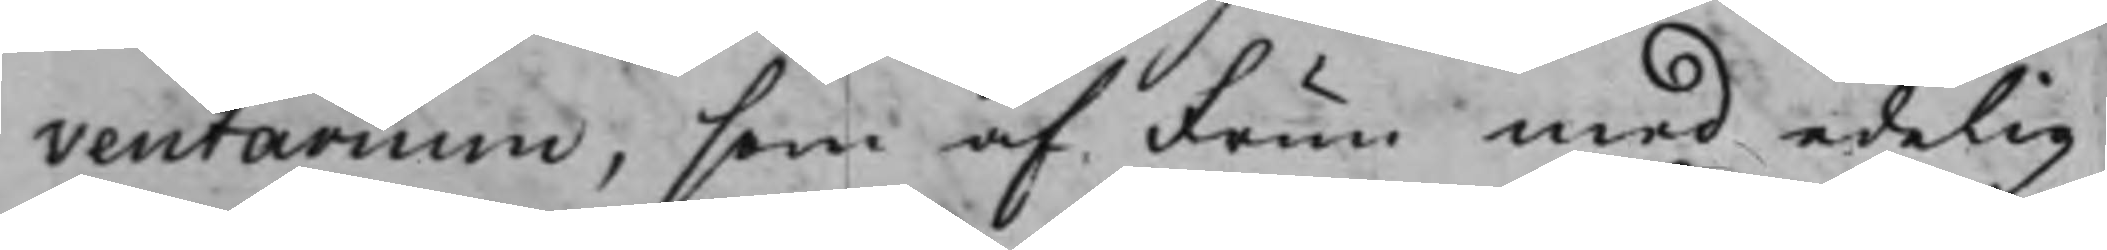ventarium, som af Frun med edelig
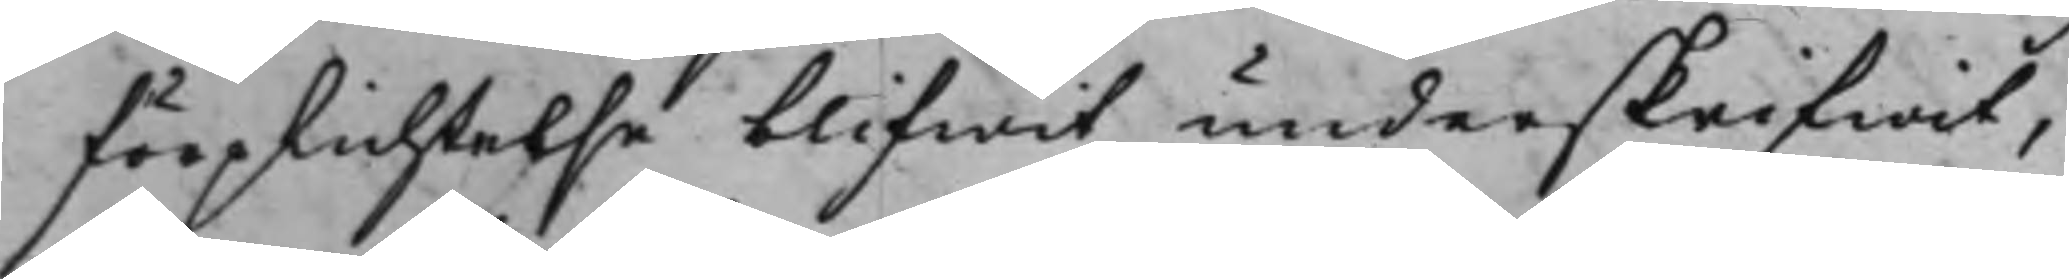förplichtelse blifwit underskrifwit,
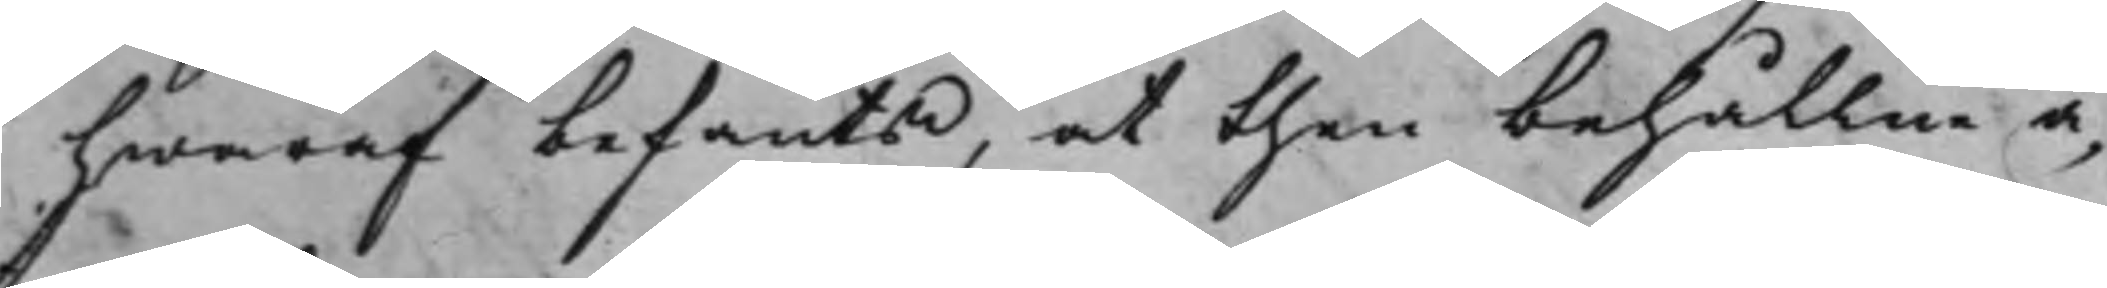hwaraf befants, at then behållne ä¬
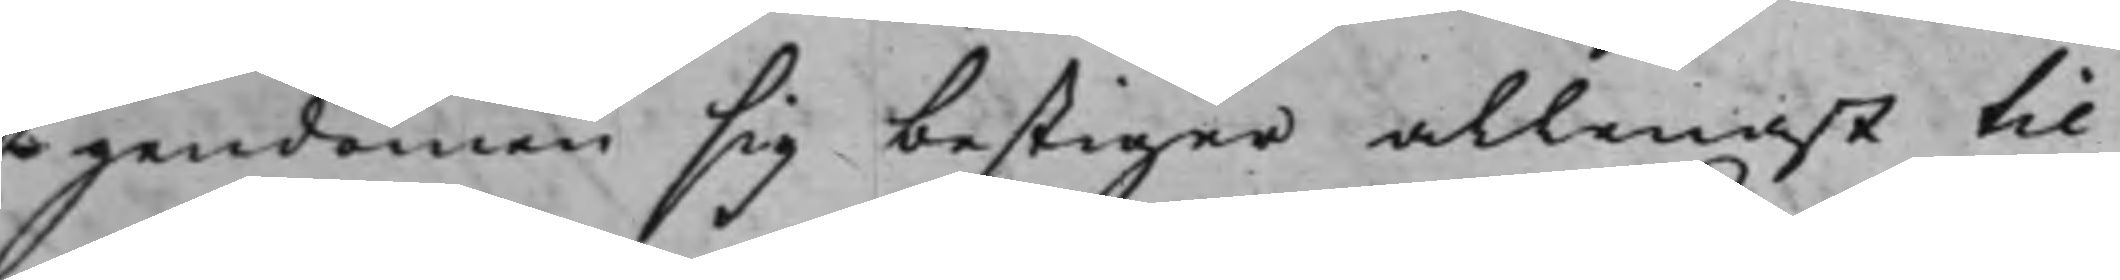gendomen sig bestiger allenast til
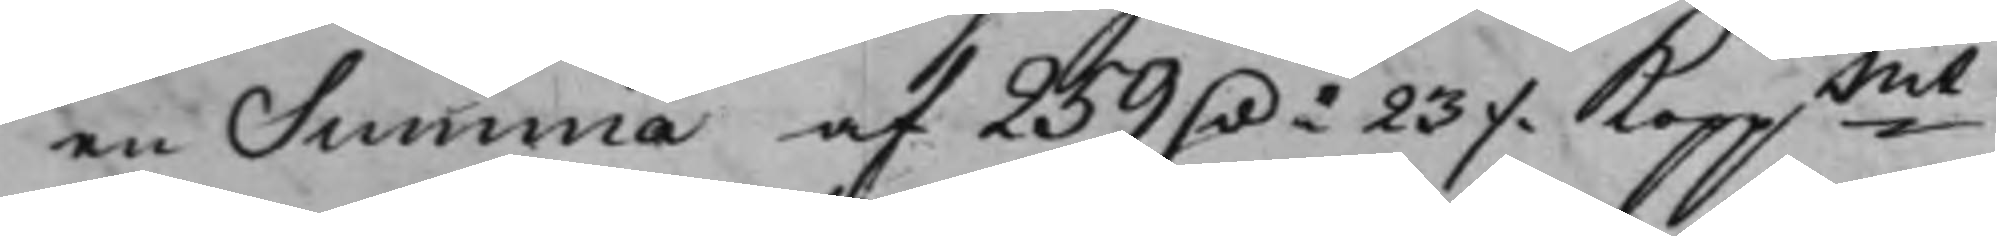en Summa af 259 D.r 23 ./. Koppmt.
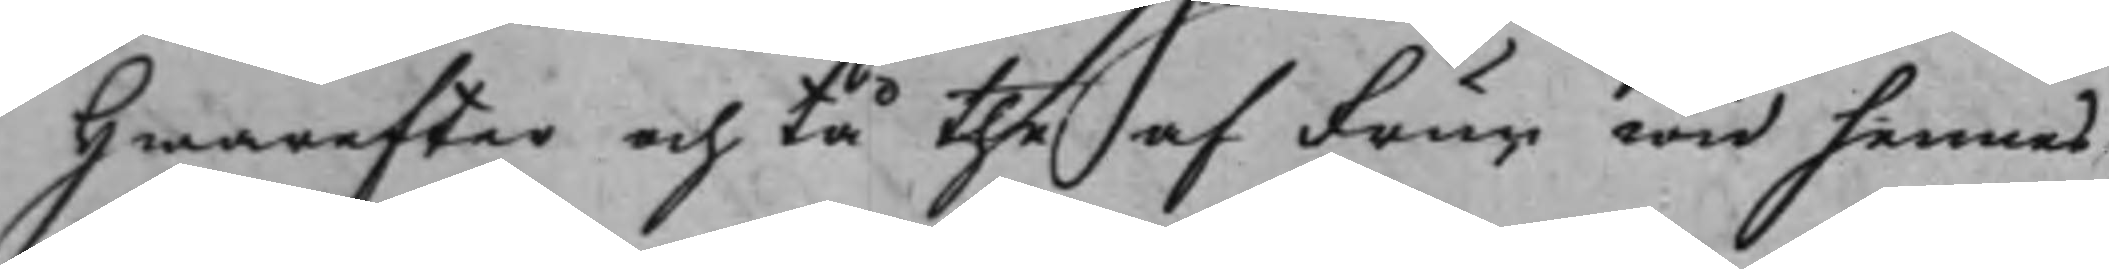Hwarefter och tå the af Frun wid hennes
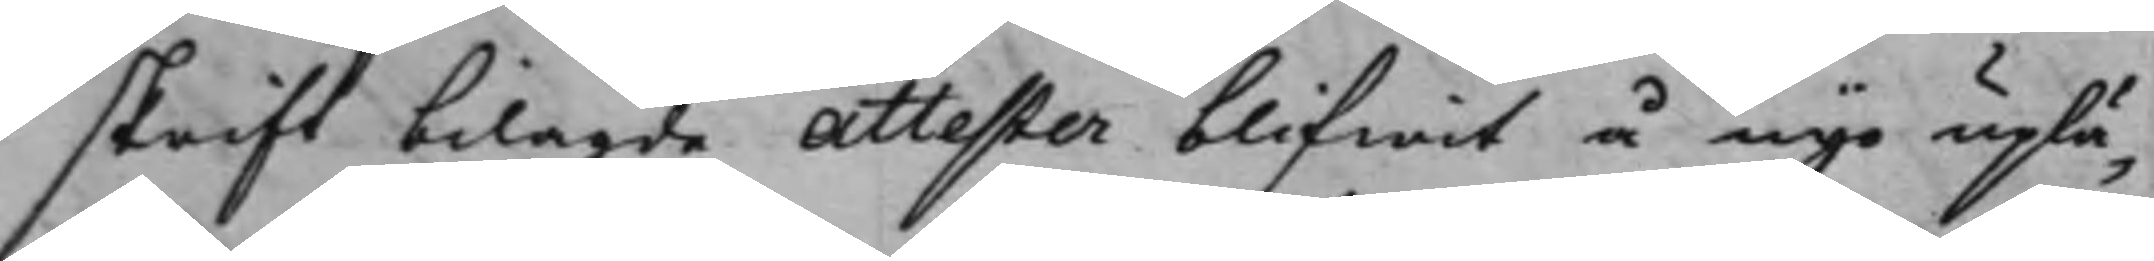skrift bilagde Attester blifwit å nyo uplä¬
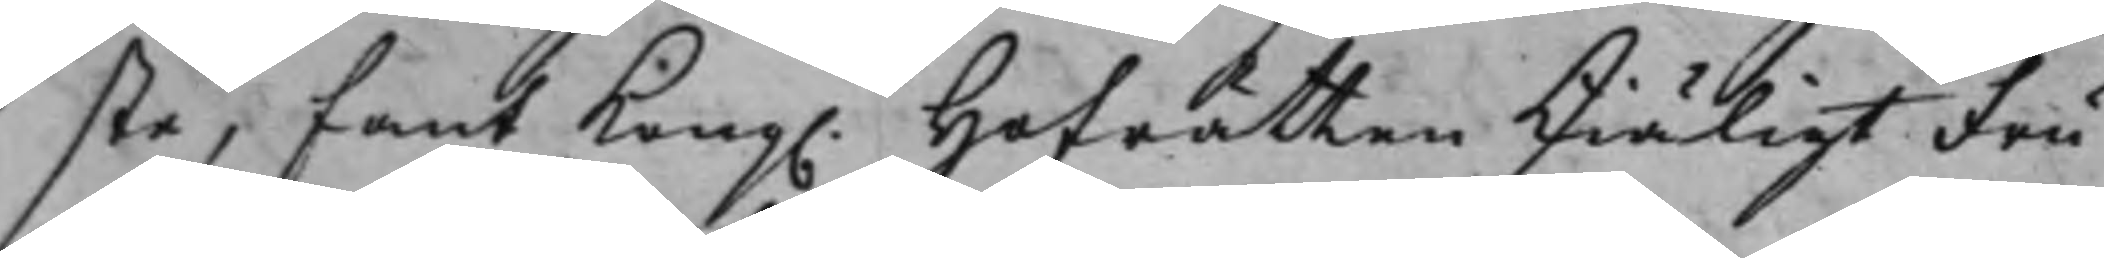ste, fant Kong. Hofrätten skiäligt Fru
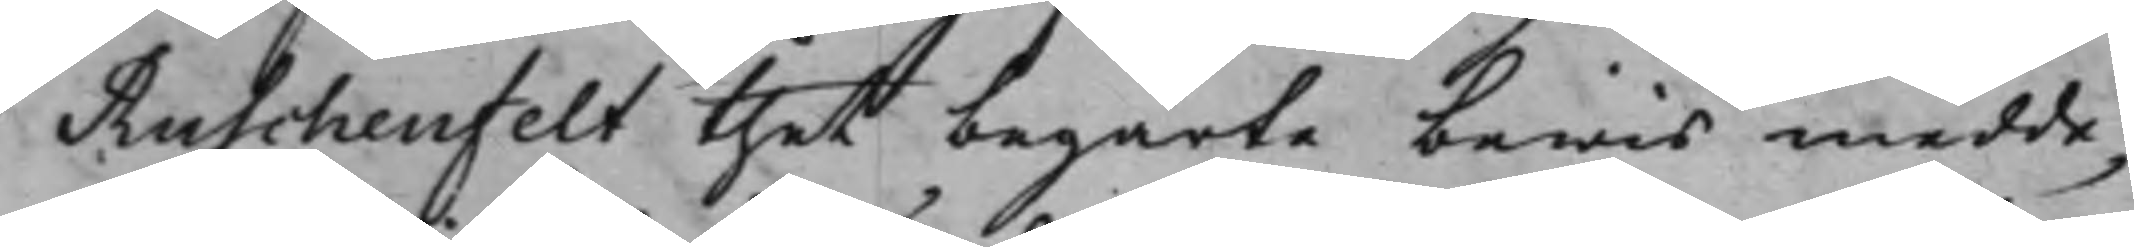Ruschenfelt thet begärte bewis medde¬
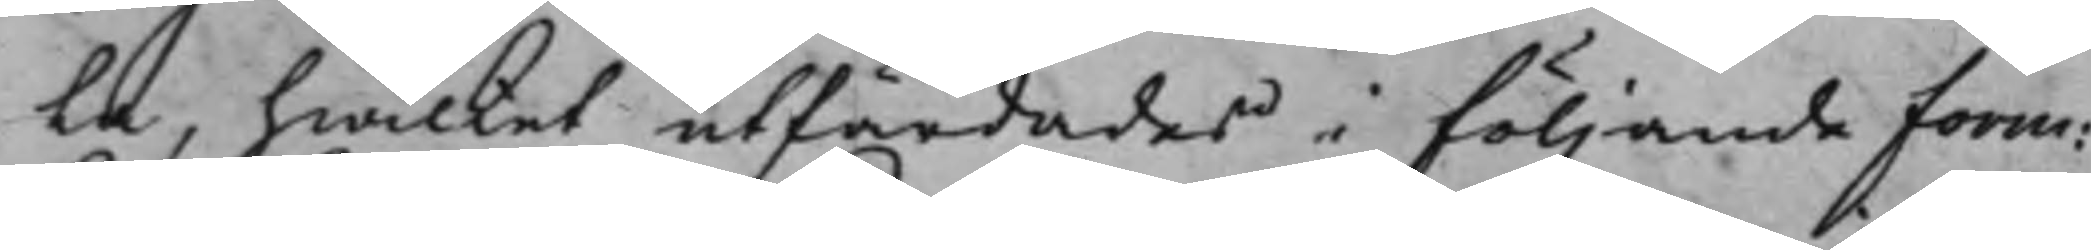la, hwilket utfärdades i följande Form:
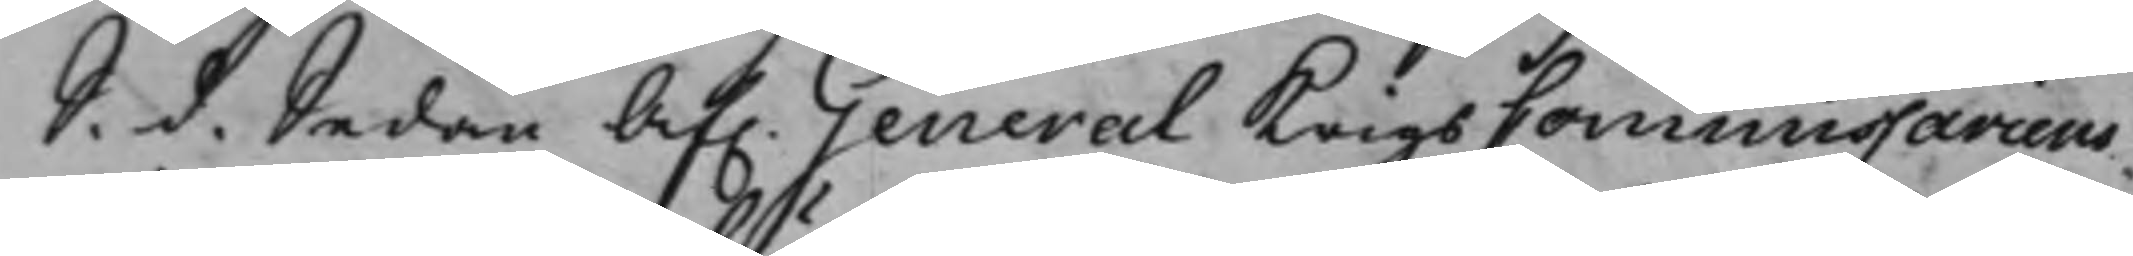S. d. Sedan Af. General KrigsCommissariens
